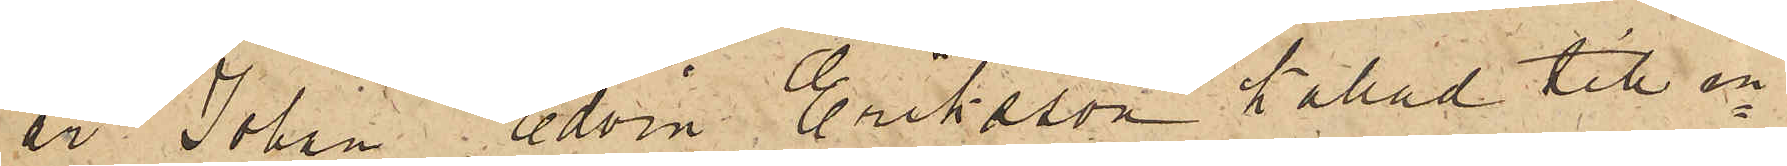är Johan Edvin Eriksson kallad till in¬
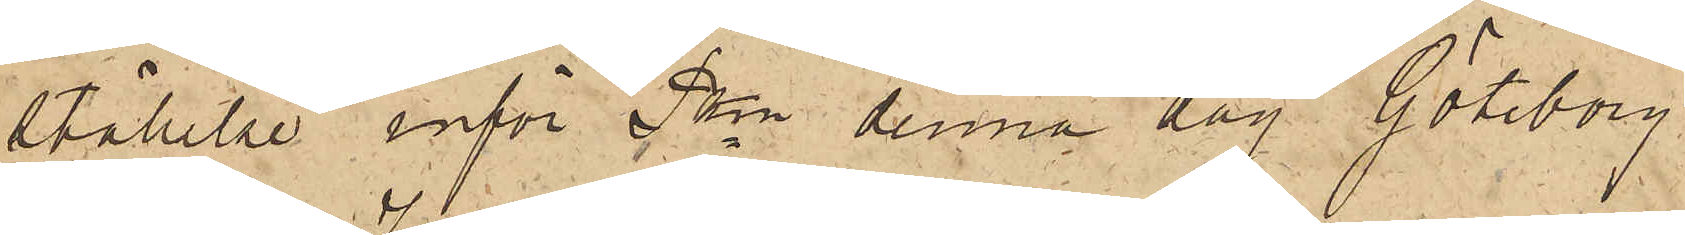ställelse inför Pkn denna dag. Göteborg
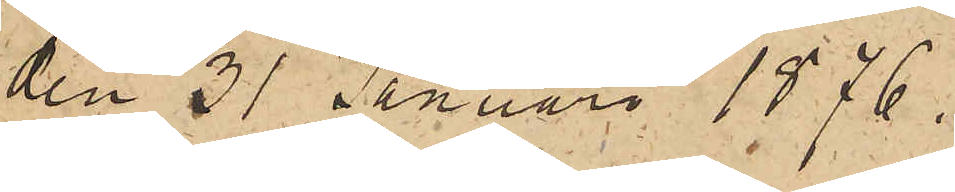den 31 Januari 1876.
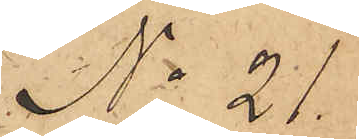No 21.
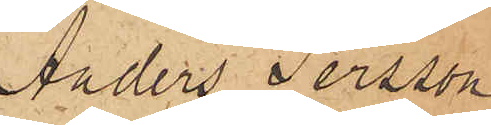Anders Persson
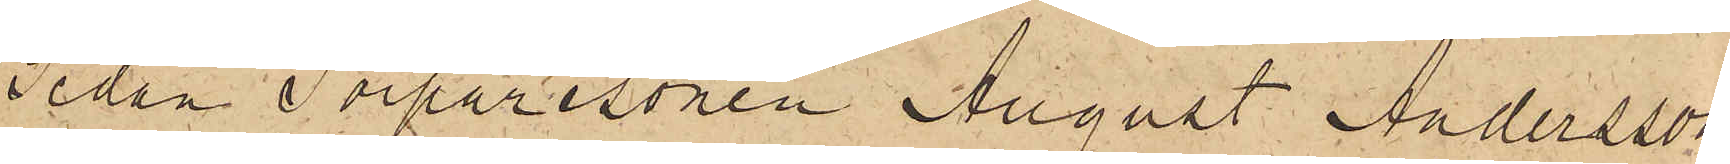Sedan Torparesonen August Andersson
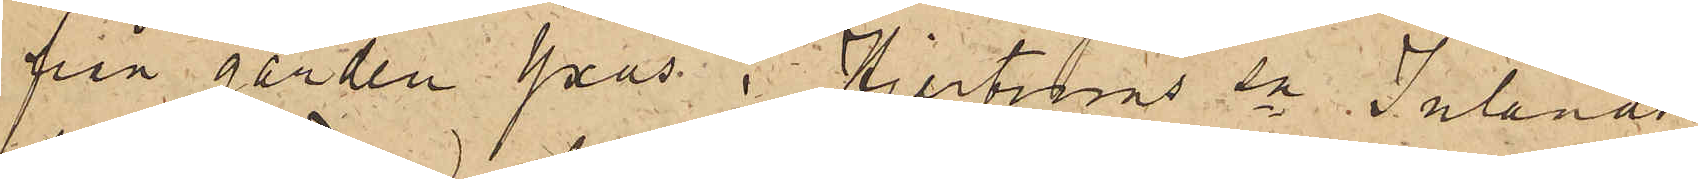från gården Yxås i Hjertums sn Inlands
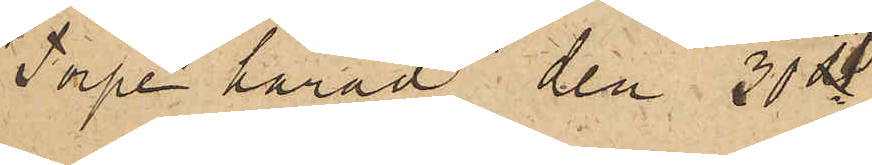Torpe härad den 30 ds
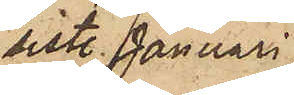sist. Januari
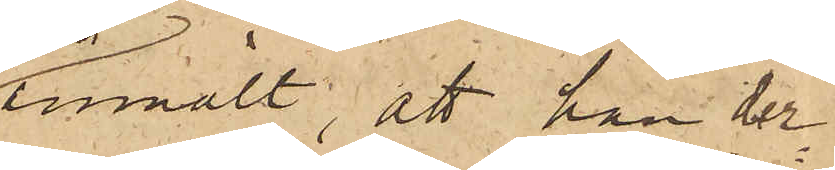anmält, att han der¬
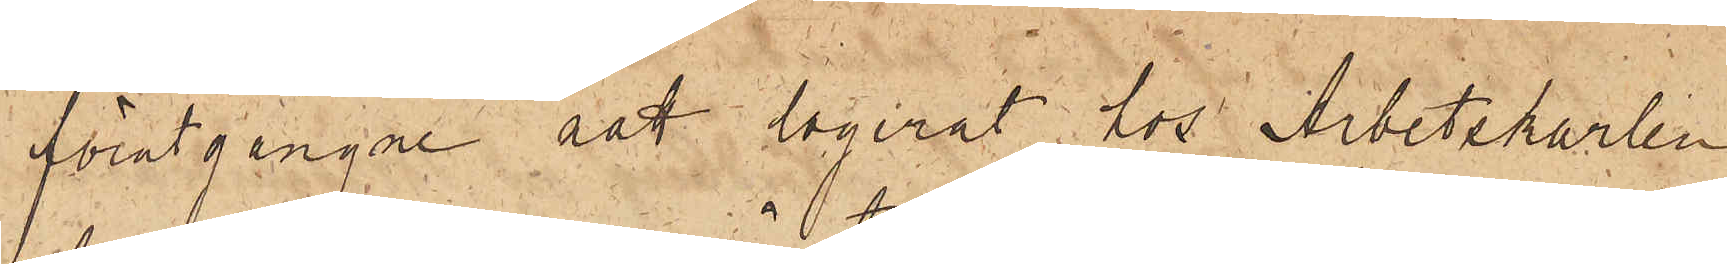förutgångne natt logerat hos Arbetskarlen
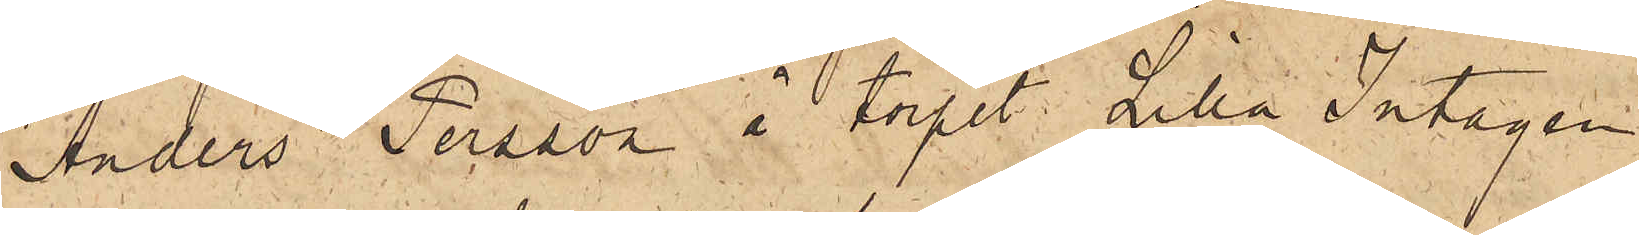Anders Persson å torpet Lilla Intagan i
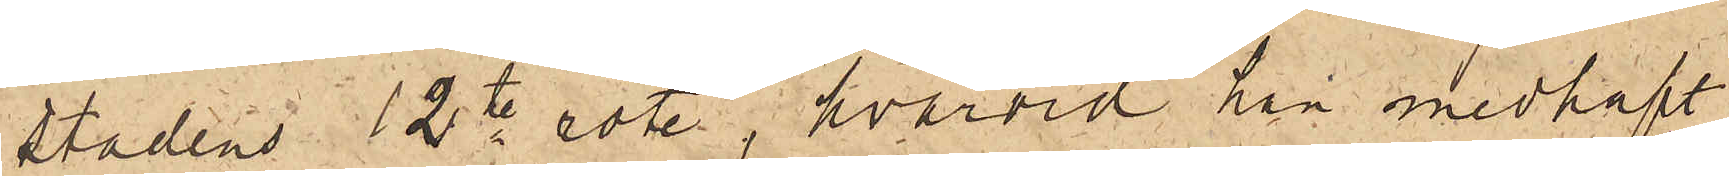Stadens 12te rote, hvarvid han medhaft
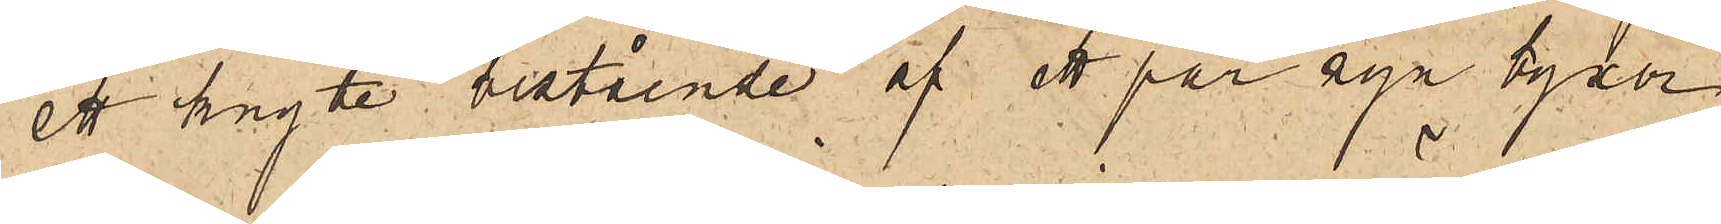ett knyte bestående af ett par nya byxor
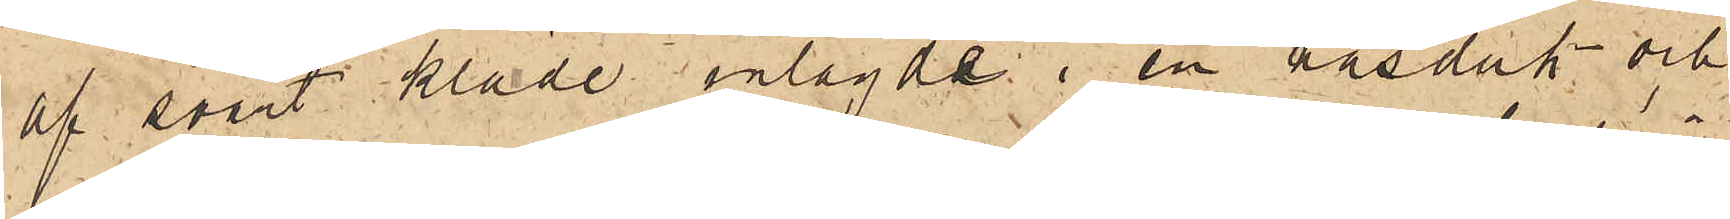af svart kläde inlagde i en näsduk och
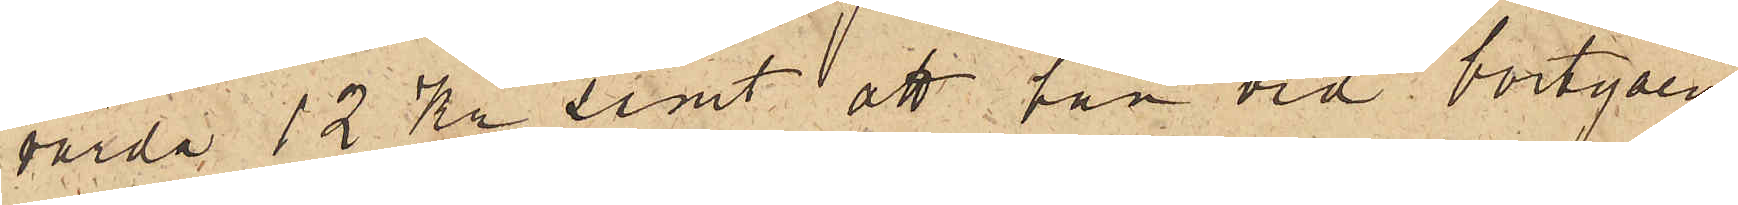värda 12 Kr samt att han vid bortgåen¬
